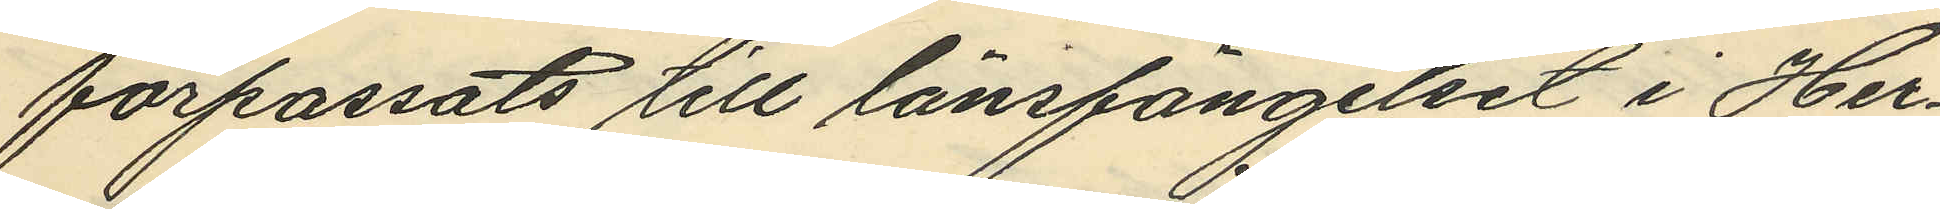förpassats till länsfängelset i Her¬
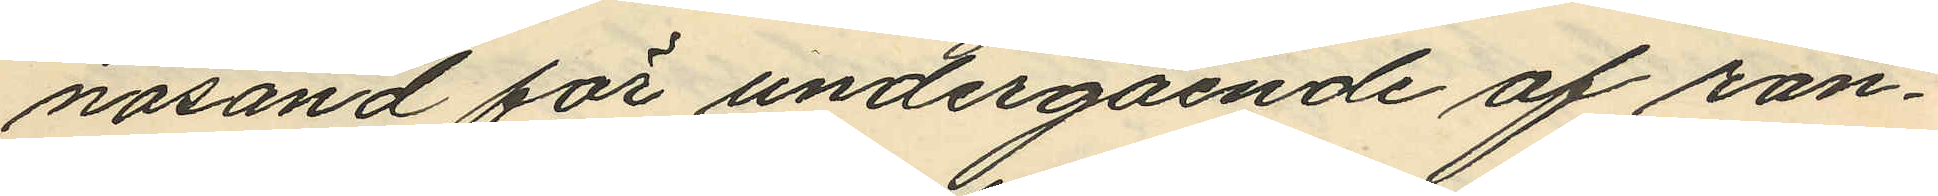nosand för undergående af ran¬
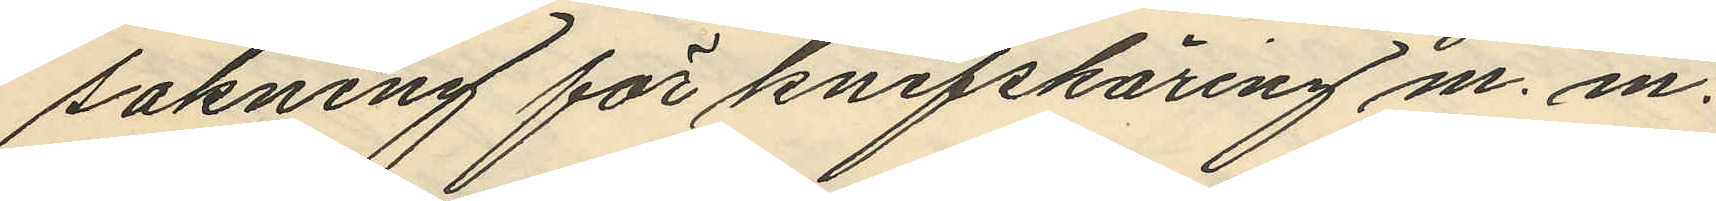sakning för knifskäring m. m.
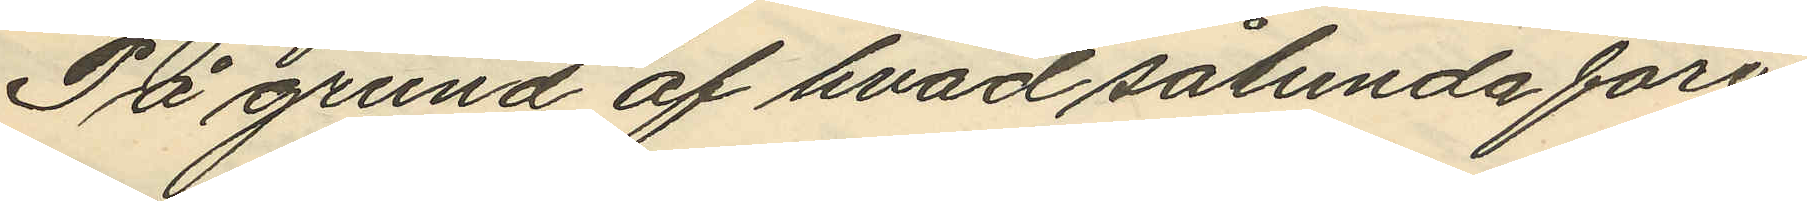På grund af hvad sålunda före¬
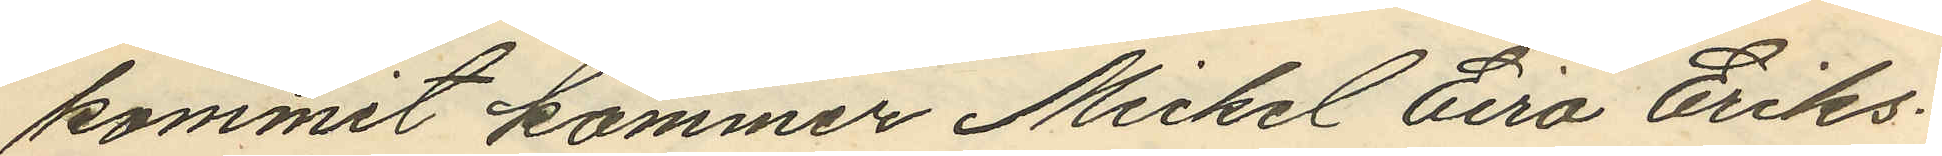kommit kommer Mickel Eiro Eriks¬
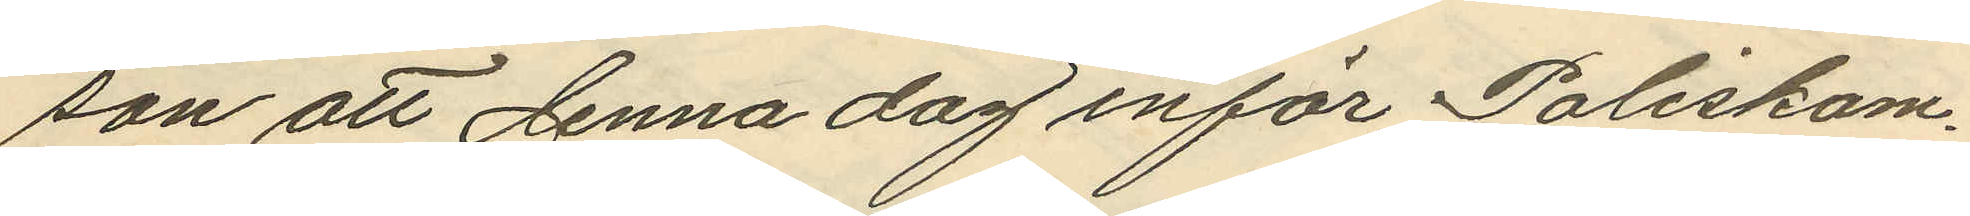son att denna dag inför Poliskam¬
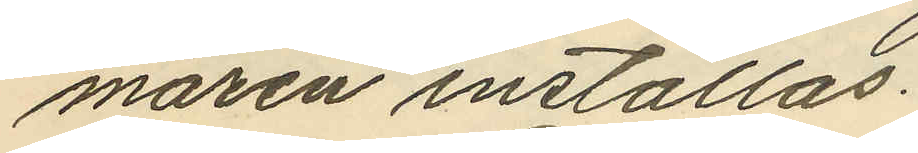maren inställas.
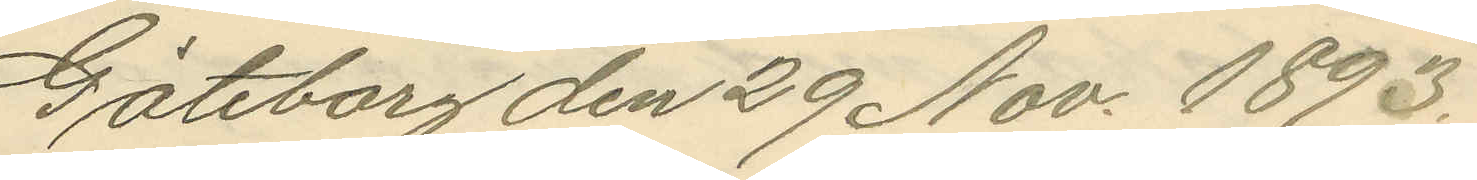Göteborg den 29 Nov. 1893.
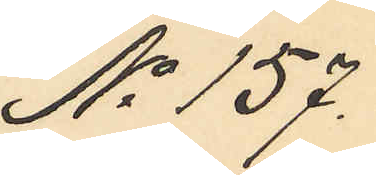No 157.
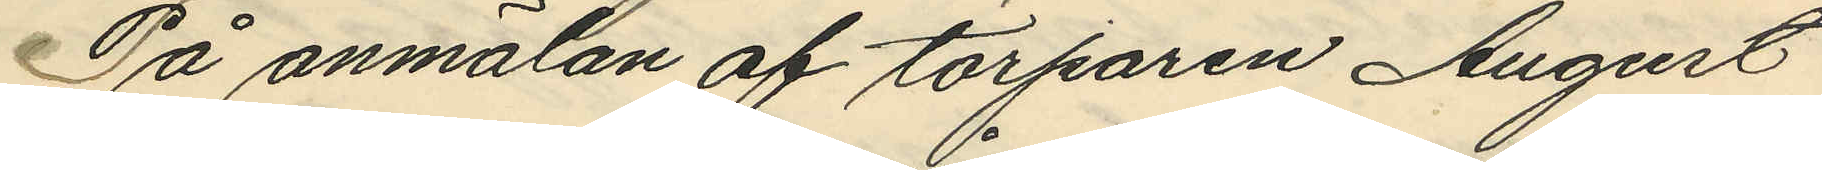På anmälan af torparen August
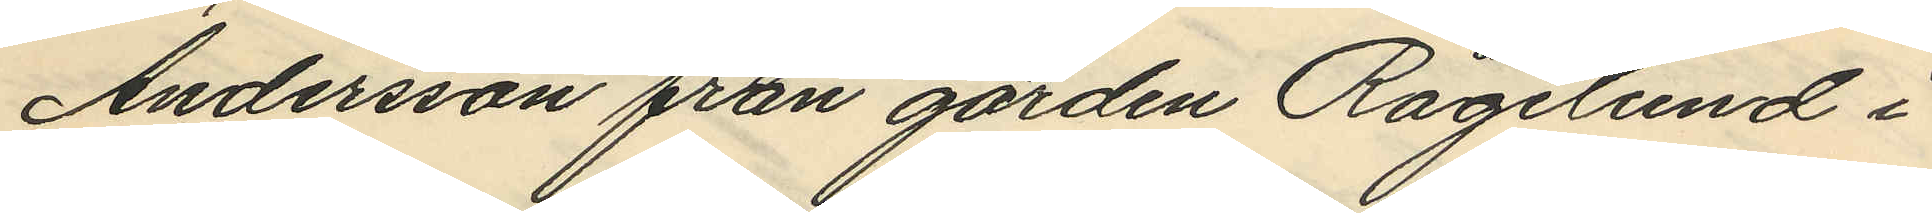Andersson från gården Rågelund i
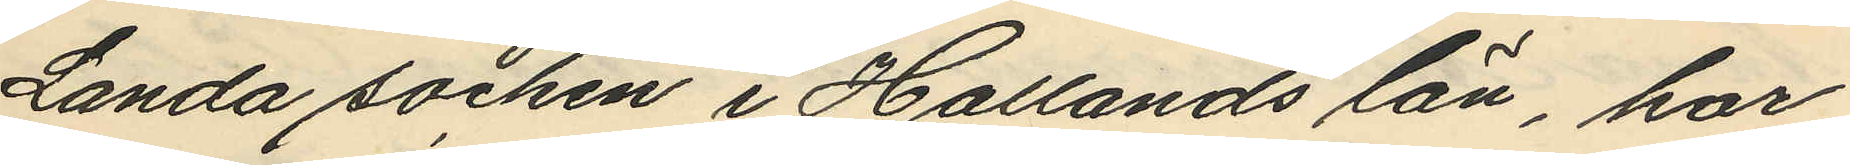Landa socken i Hallands län, har
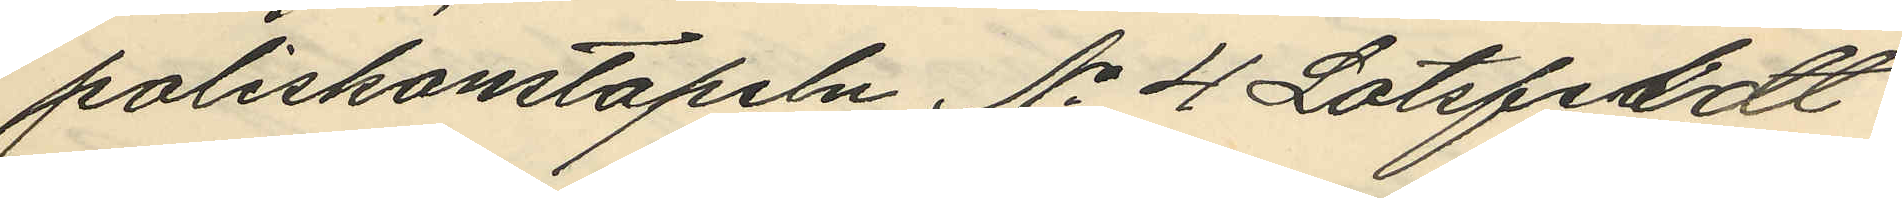poliskonstapeln No 4 Lotsfeldt
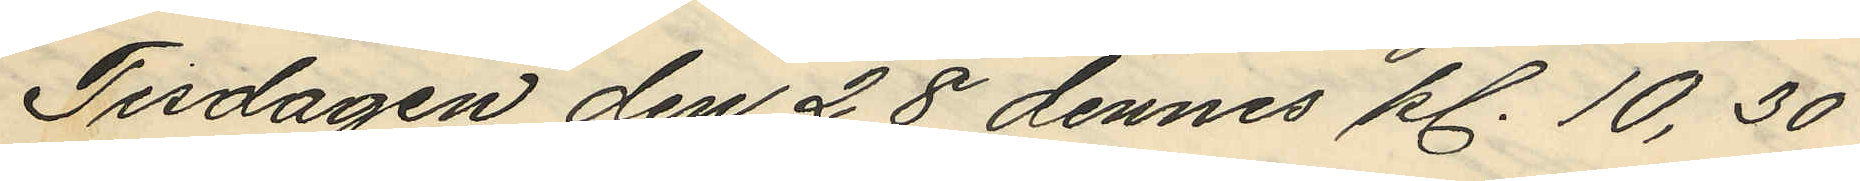Tisdagen den 28 dennes kl. 10,30
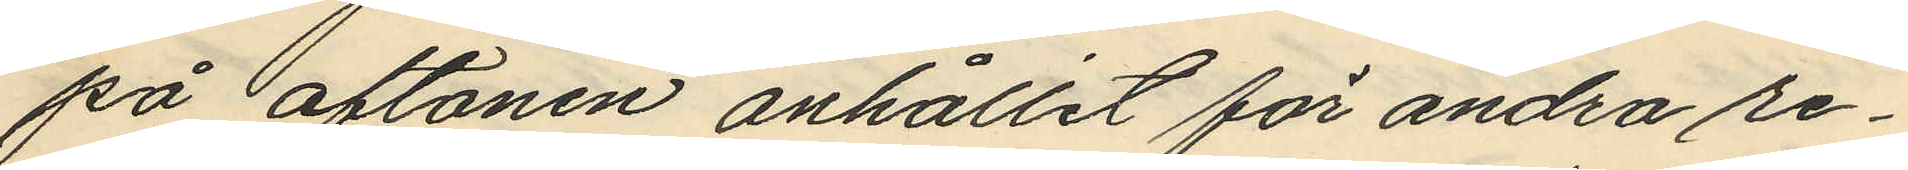på aftonen anhållit för andra re¬
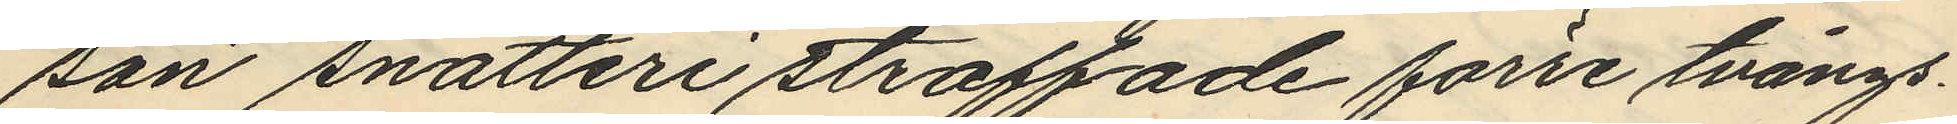san snatteri straffade förre tvångs¬
